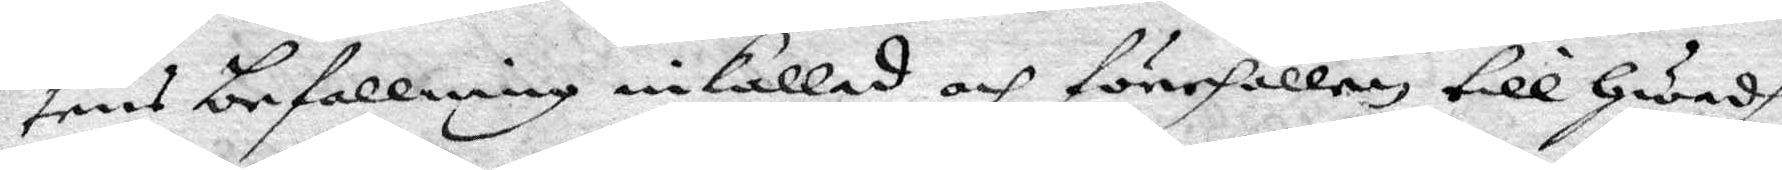tens befallning inkallad och förehållen till Hwadh
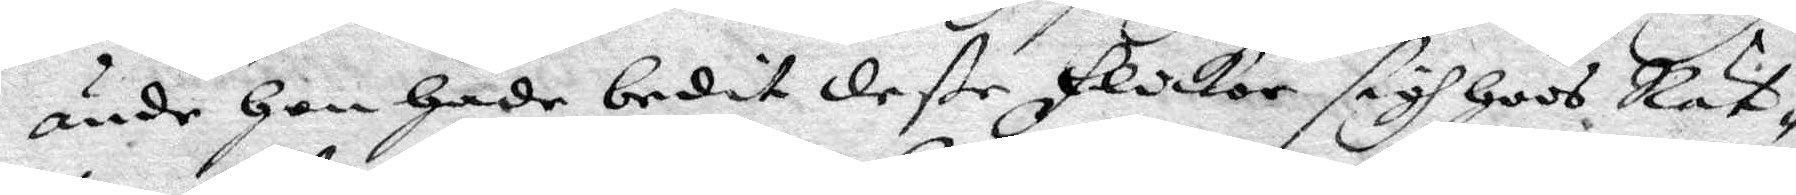ände Hon Hade bedit deße flickor sigh Hoos Rät¬
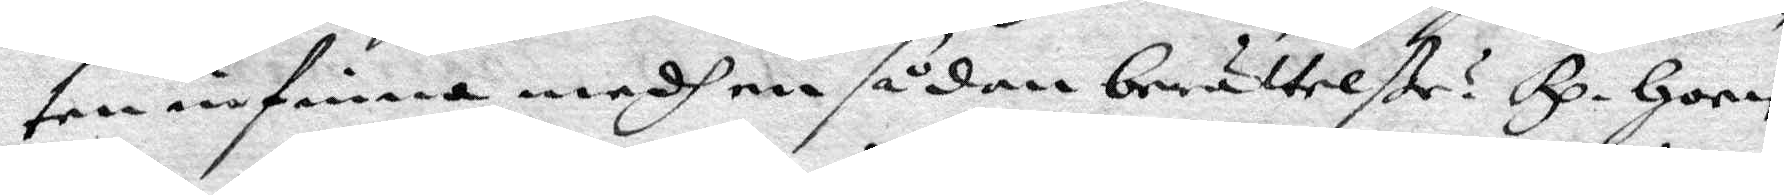ten infinna medh en sådan berättelße? Rp. Hoen
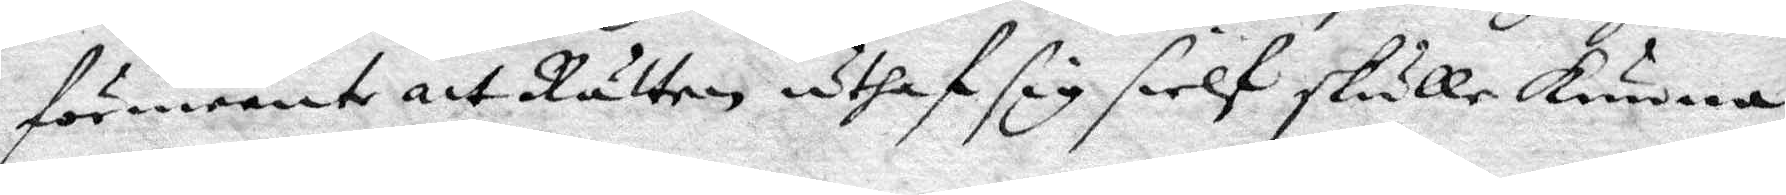förmente att Rätten uthaf sig sielf skulle kunna
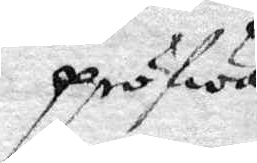pröfwa
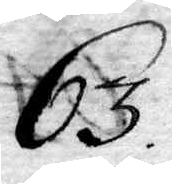63.
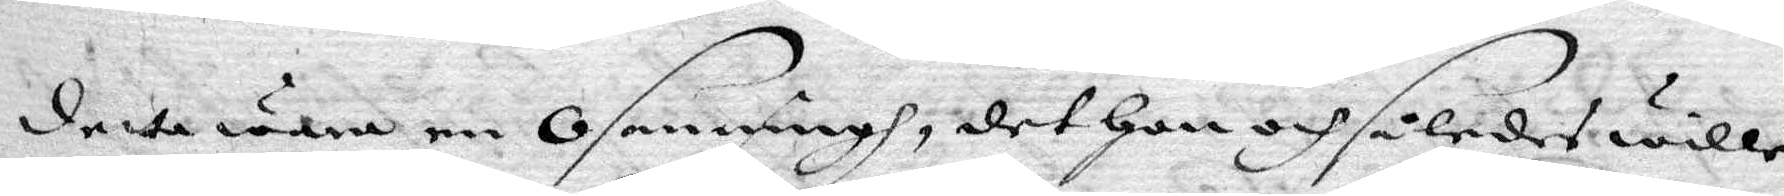detta wara en Osanningh, det Hon och således wille
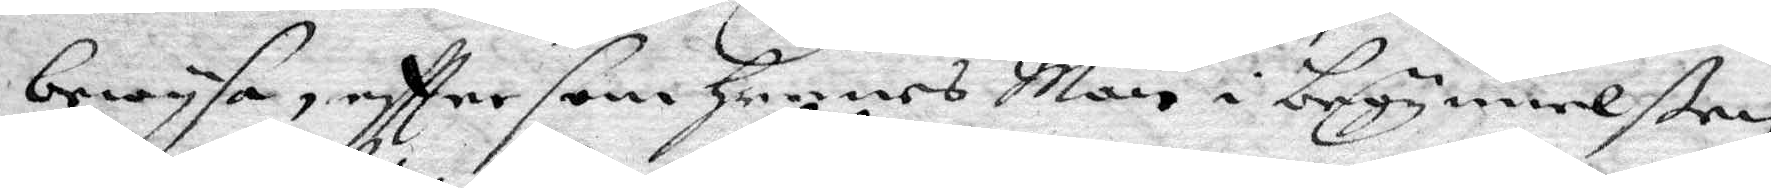befrya, eftter som Hennes Man i begynnelßen
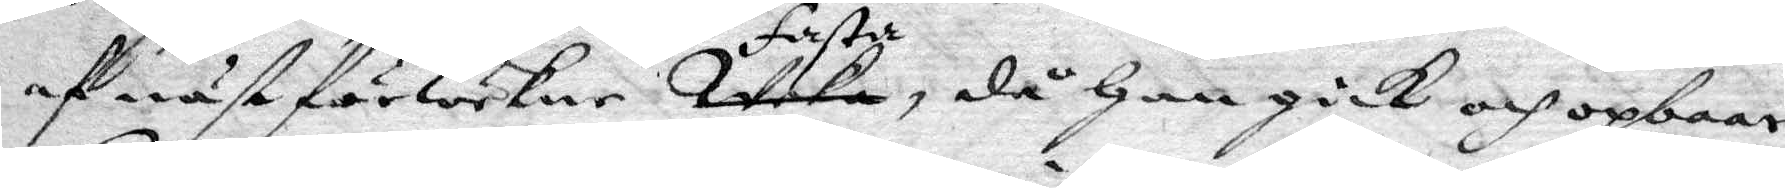af näst förwekne Weka fasta, då Han gick och opbaar
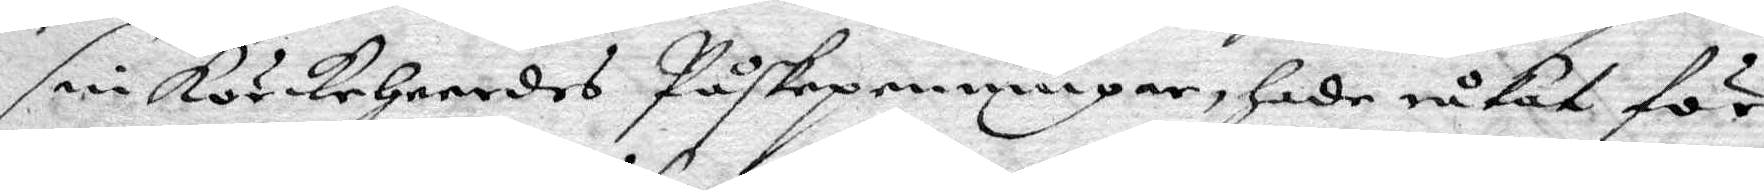sin körkeherdes Påskepenningar, Hade råkat för
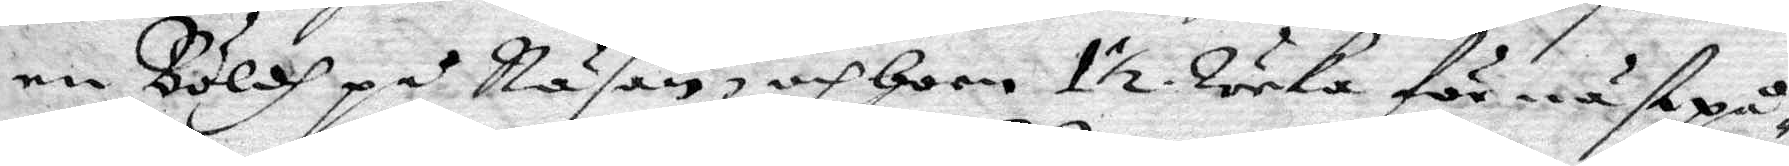en Böldh på Näsan, och Hoon 1½ weka för nästpå
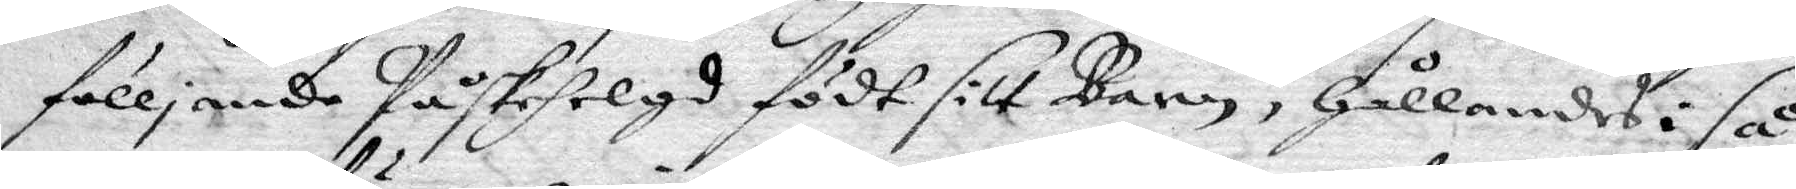fölljande Påskehelgd födt sitt Barn, Hållandes i så
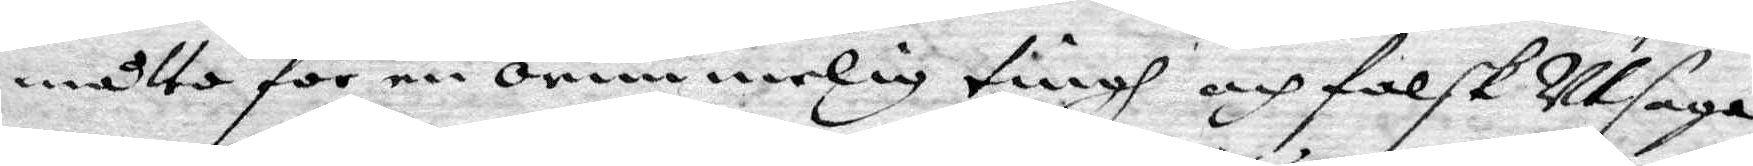måtto för en orimmelig tingh och falsk Utsaga,
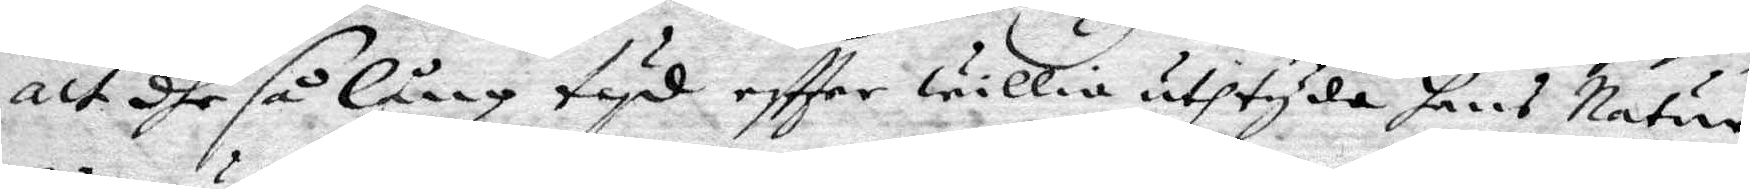att dhe så lång tyd eftter willia uthtyda hans Natur¬
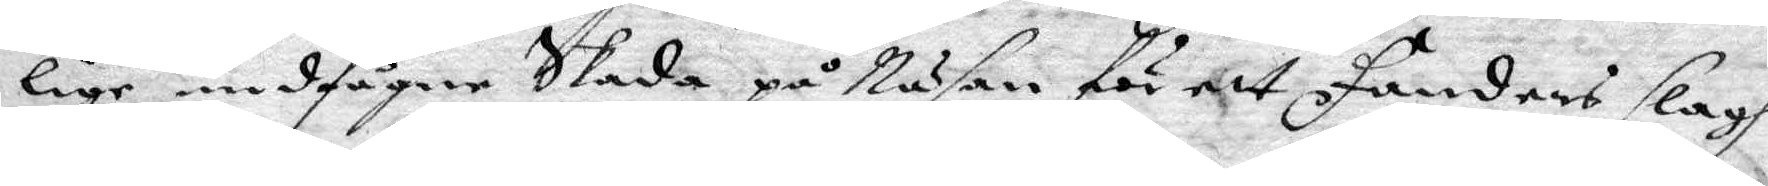lige undfångne Skada på Näsan för ett fandens slagh
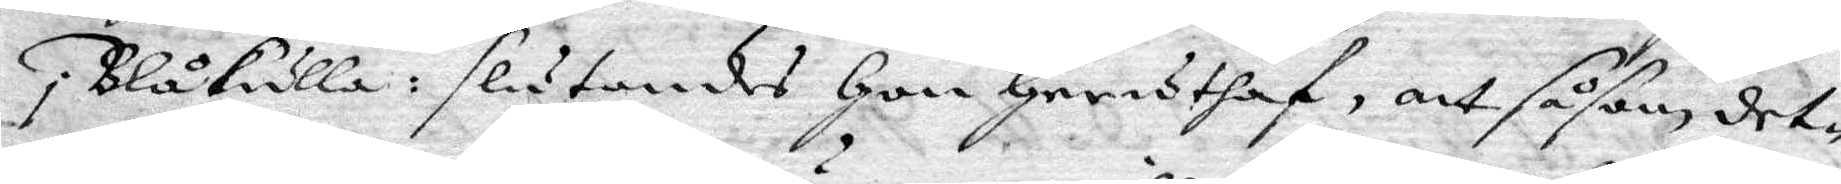i Blåkulla: slutandes Hon Geruthaf, att såsom det¬
